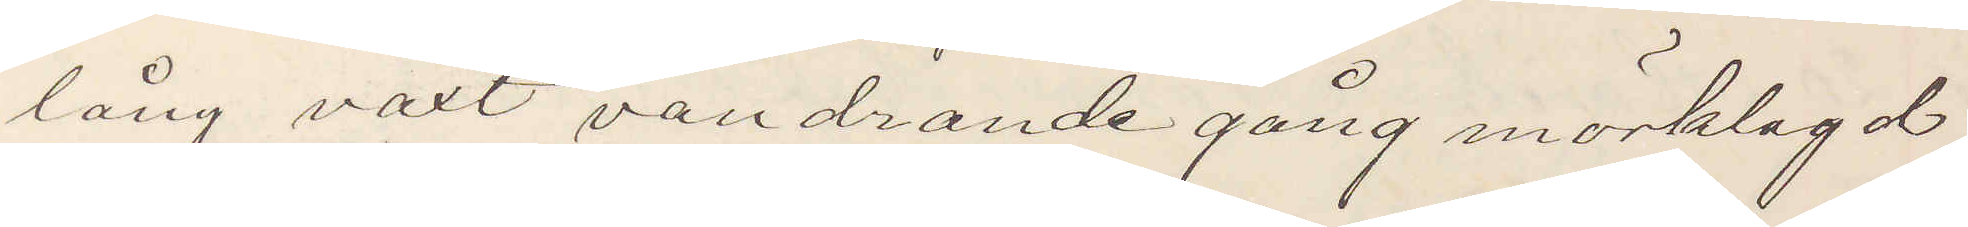lång växt vandrande gång mörklagd
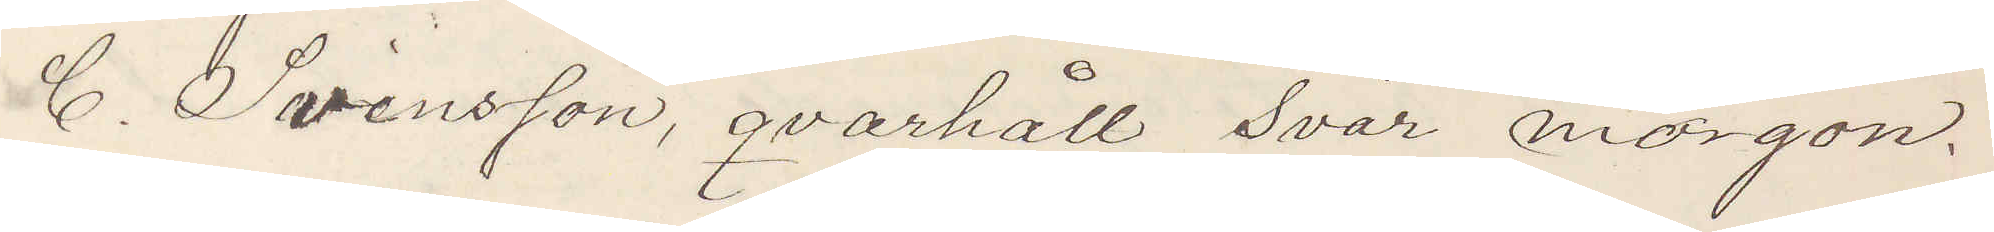C. Svensson, qvarhåll svar morgon.
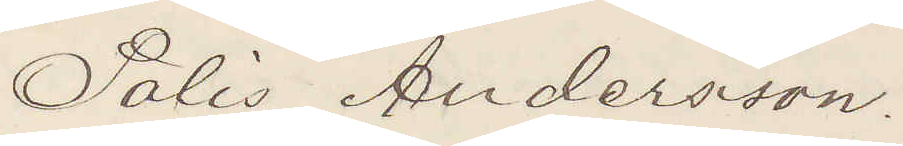Polis Andersson.
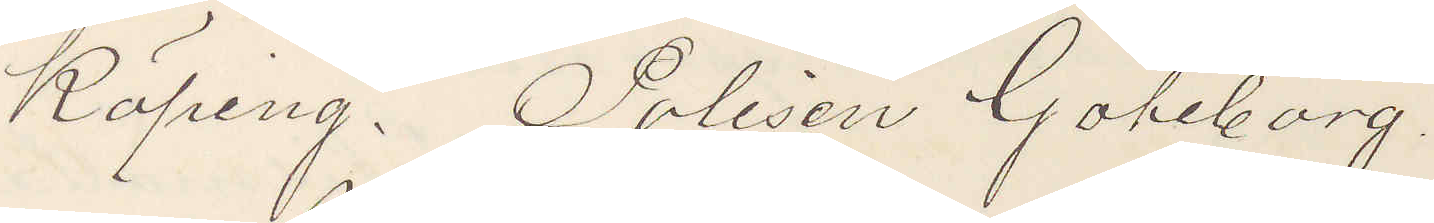Köping. Polisen Göteborg.
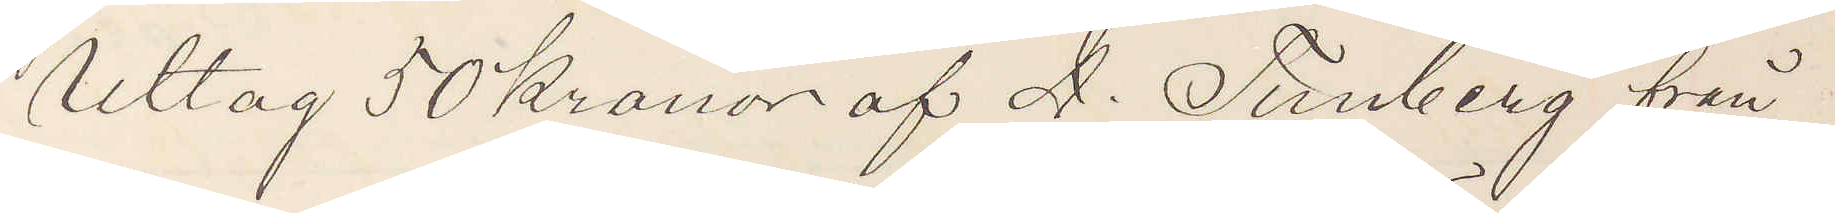Uttag 50 Kronor af A. Tunberg från
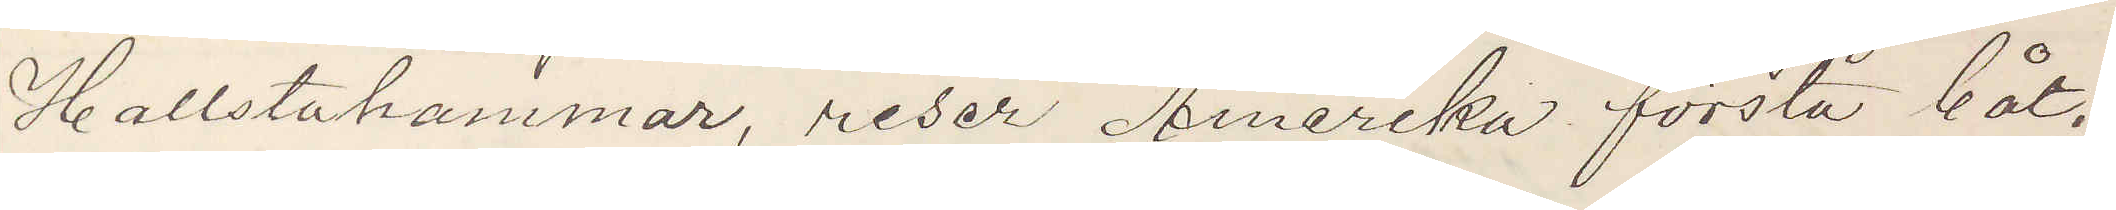Hallstahammar, reser Amerika första båt.
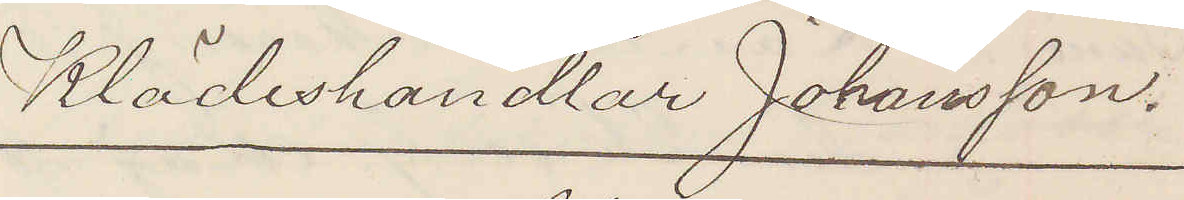Klädeshandlar Johansson.
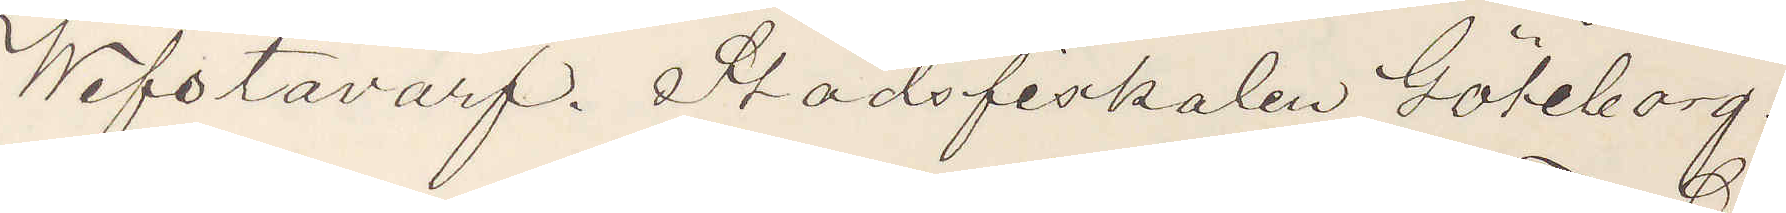Wifstavarf Stadsfiskalen Göteborg.
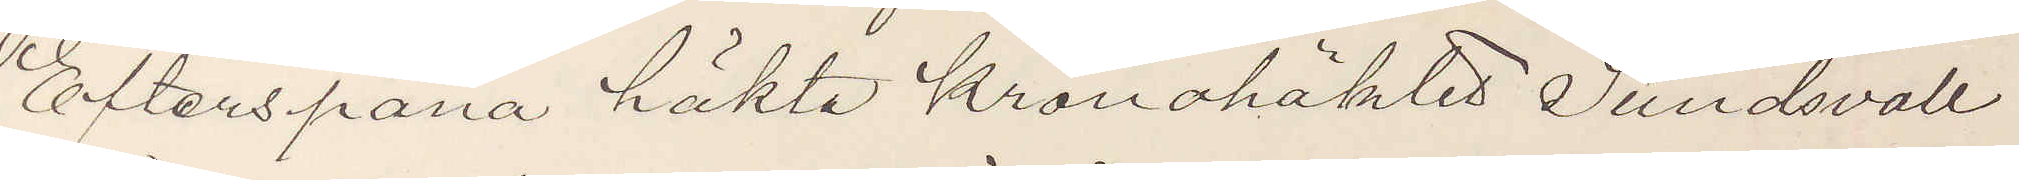Efterspana häkta kronahäktes Sundsvall
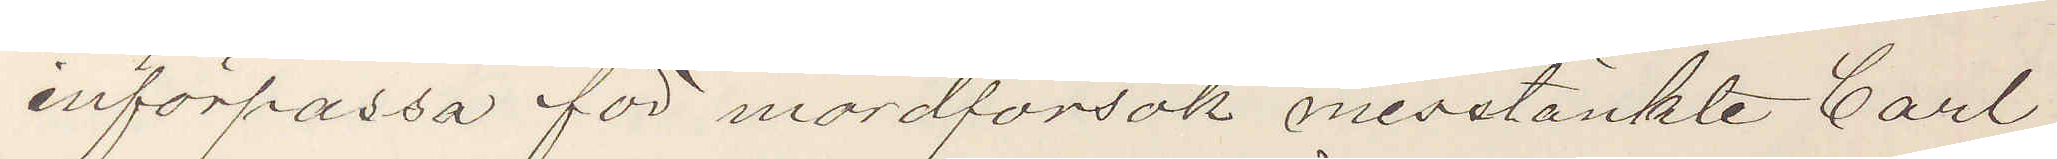införpassa för mordförsök misstänkte Carl
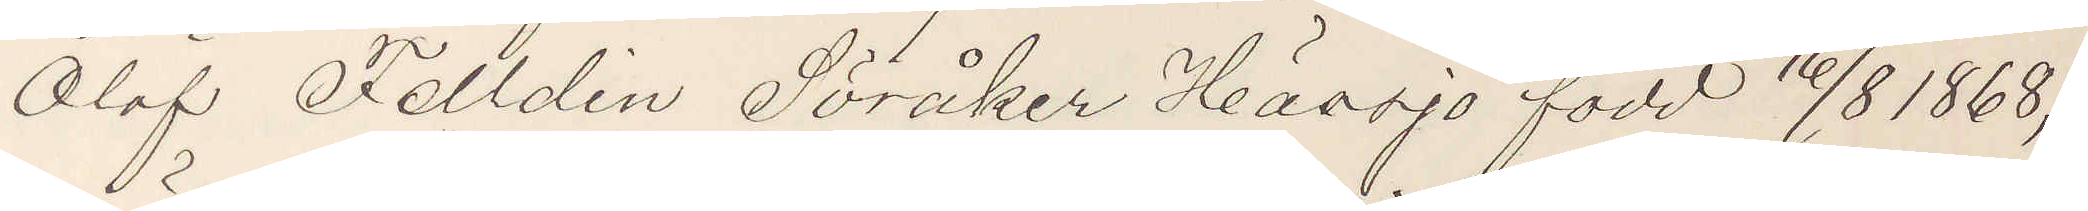Olof Felldin Söråker Hässjö född 16/8 1868,
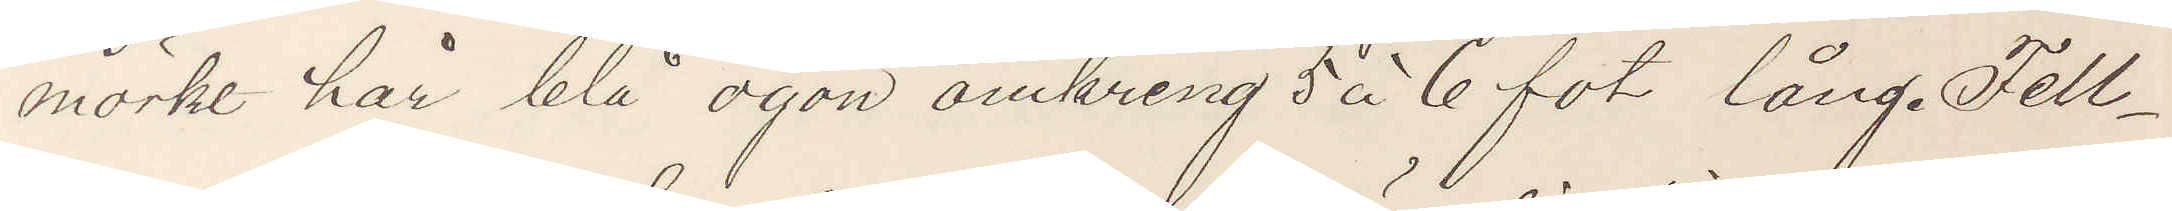mörkt hår blå ögon omkring 5 á 6 fot lång. Fell¬
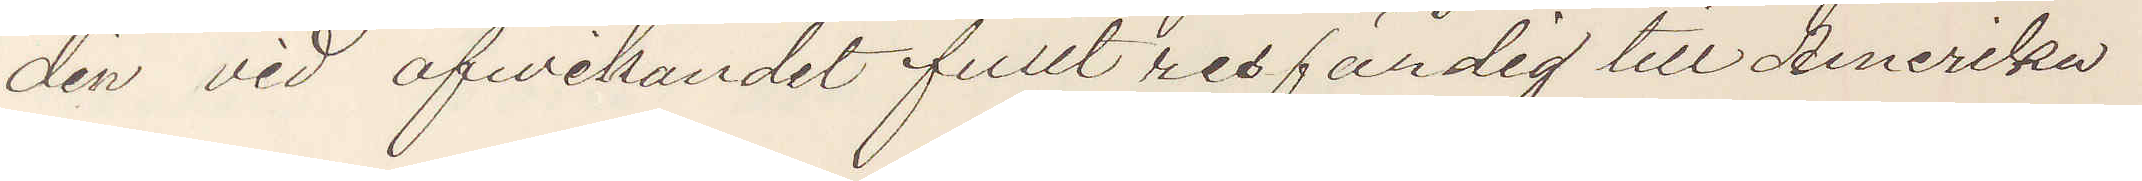din vid afwikandet fullt resfärdig till Amerika
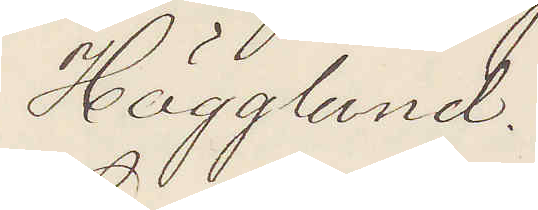Hägglund.
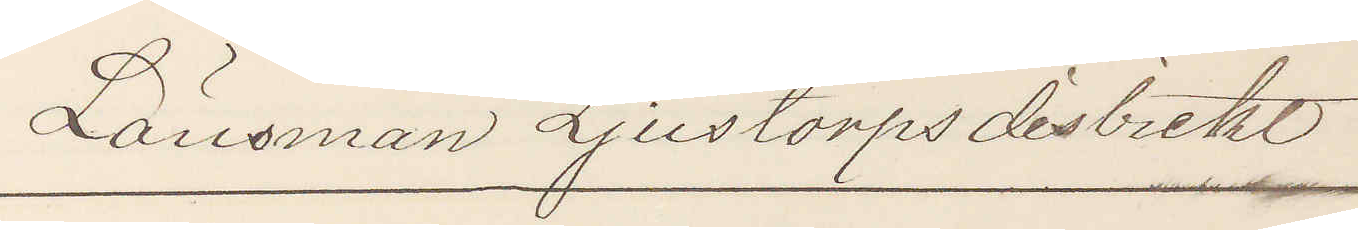Länsman Ljustorps distrikt
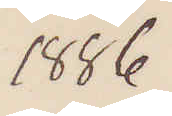1886
